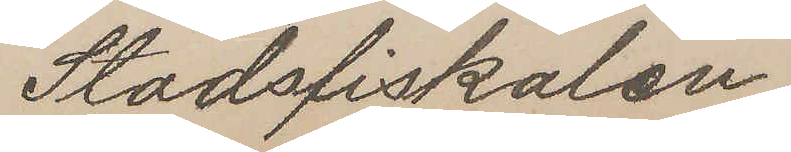Stadsfiskalen.
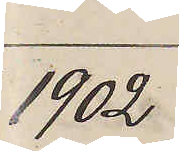1902
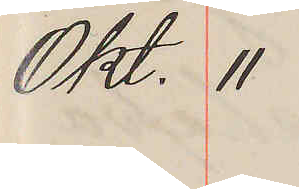Okt. 11
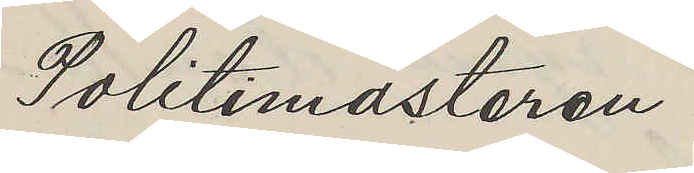Politimästaren
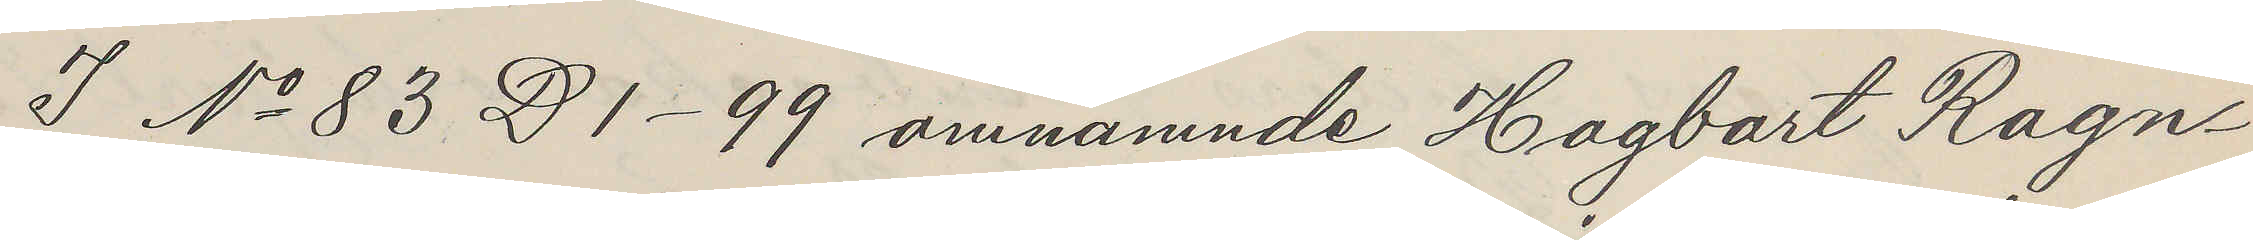I No 83 D 1 - 99 omnämnde Hagbart Ragn¬
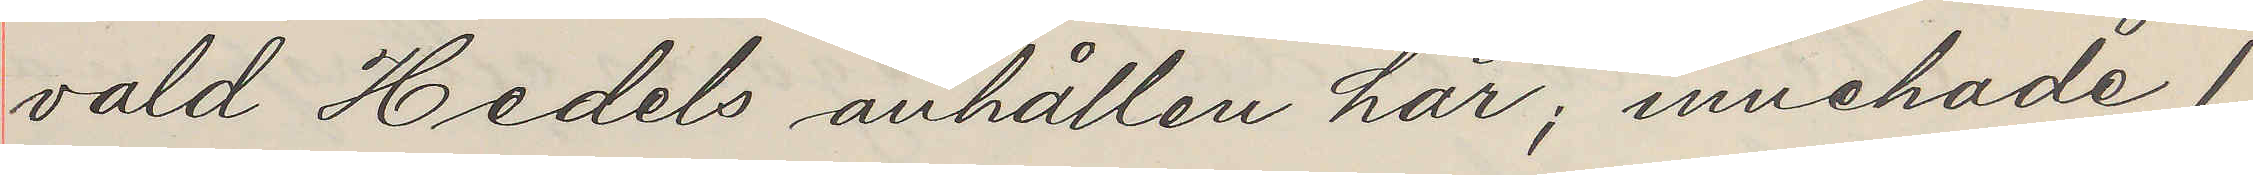vald Hedels anhållen här; innehade 1
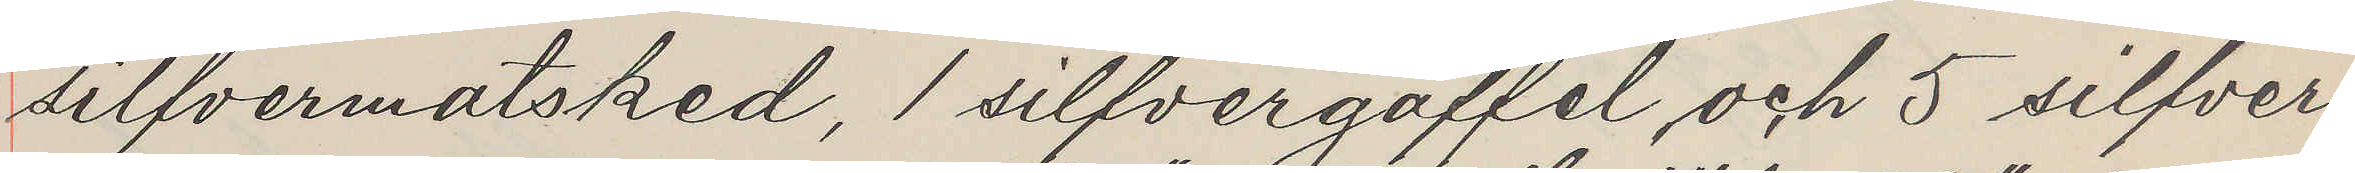silfvermatsked, 1 silfvergaffel, och 5 silfver¬
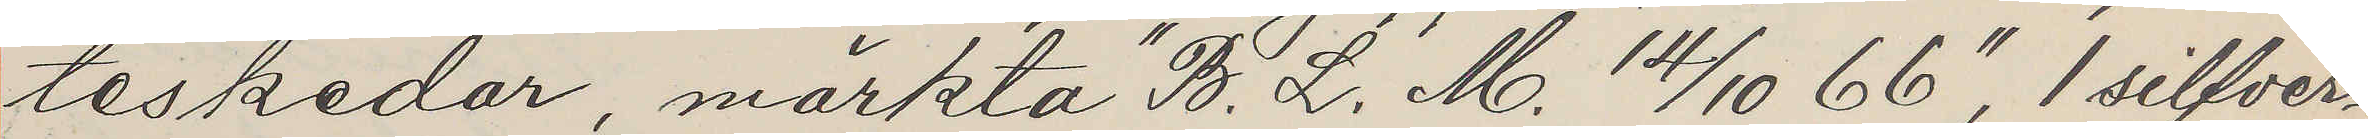teskedar, märkta "B. L. M. 14/10 66", 1 silfver¬
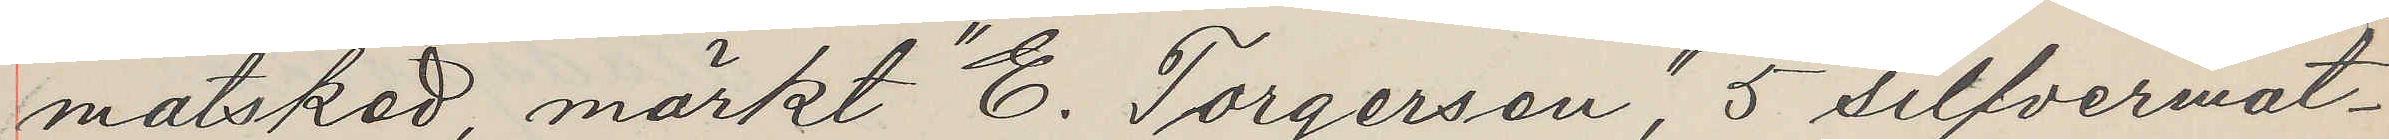matsked, märkt "E. Torgersen", 5 silfvermat¬
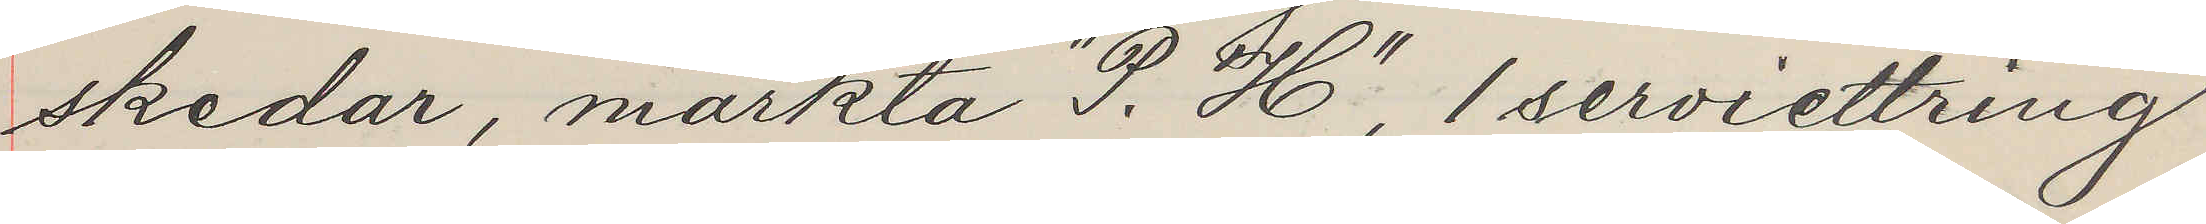skedar, märkta "P. H", 1 serviettring,
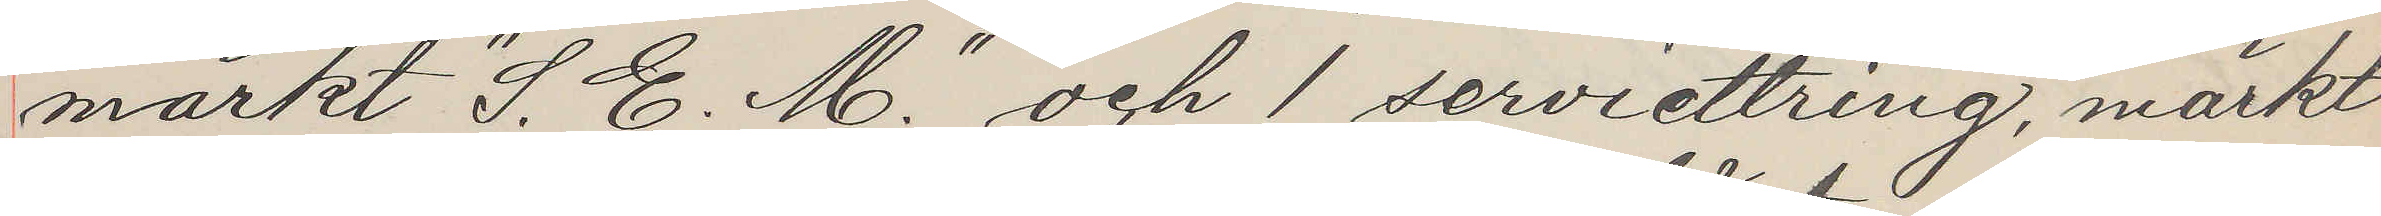märkt "S. E. M." och 1 servietring, märkt
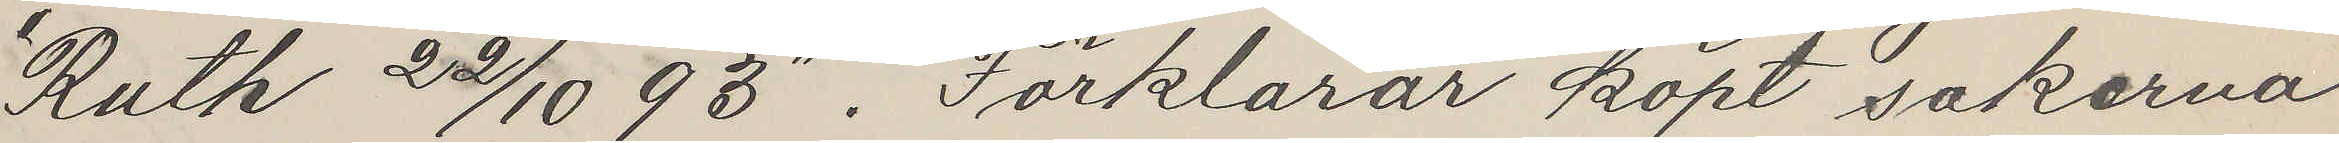"Ruth 22/10 93". Förklarar köpt sakerna
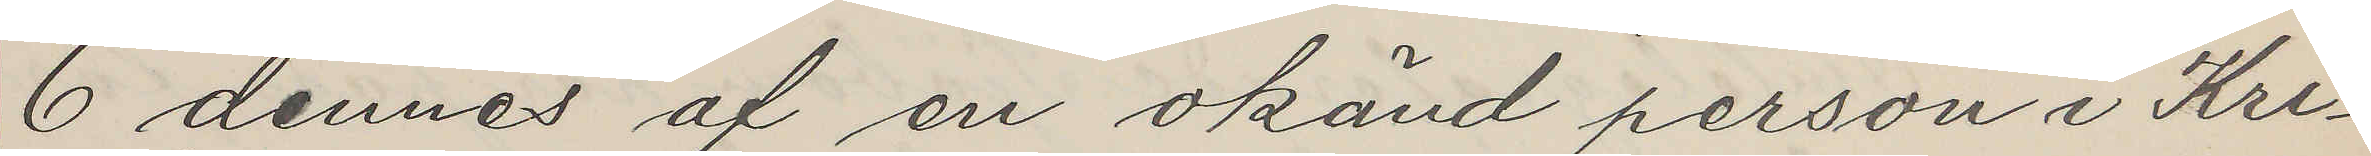6 dennes af en okänd person i Kri¬
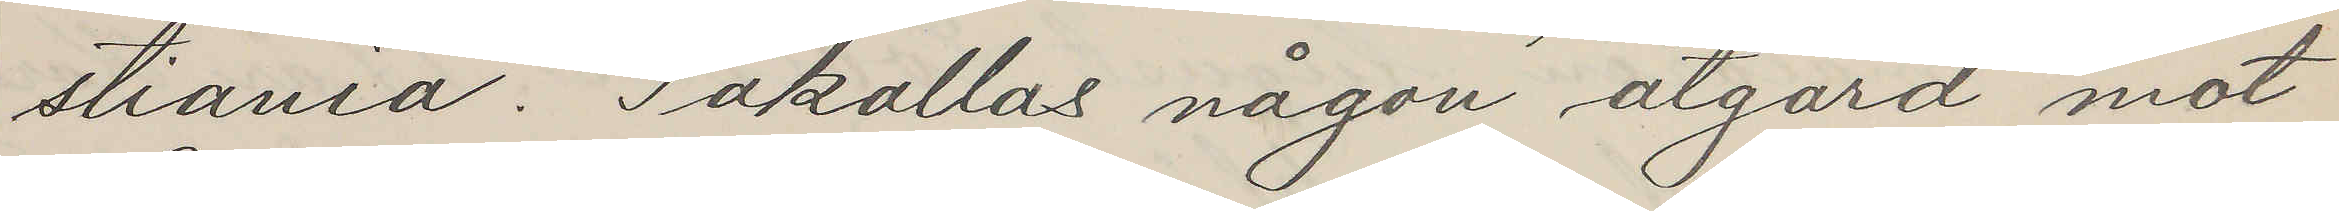stiania. Påkallas någon åtgård mot
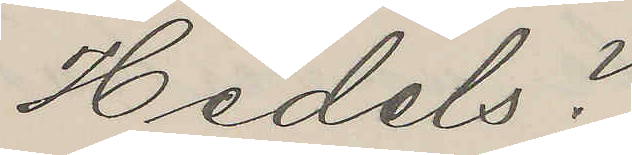Hedels?
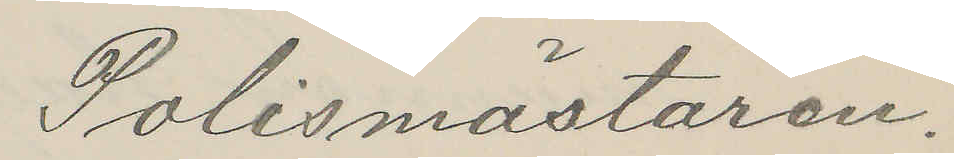Polismästaren.
